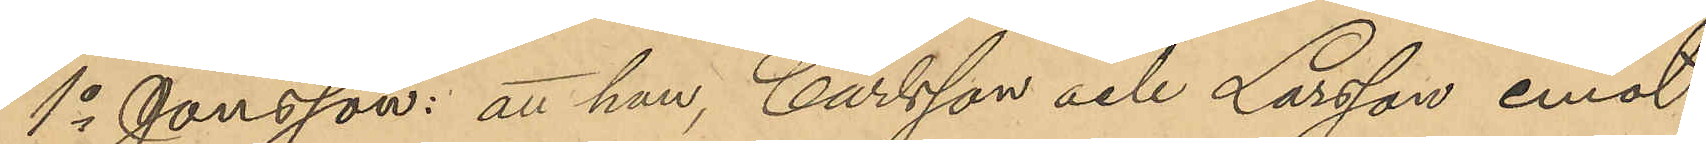1o Jonsson: att han, Carlsson och Larsson emot
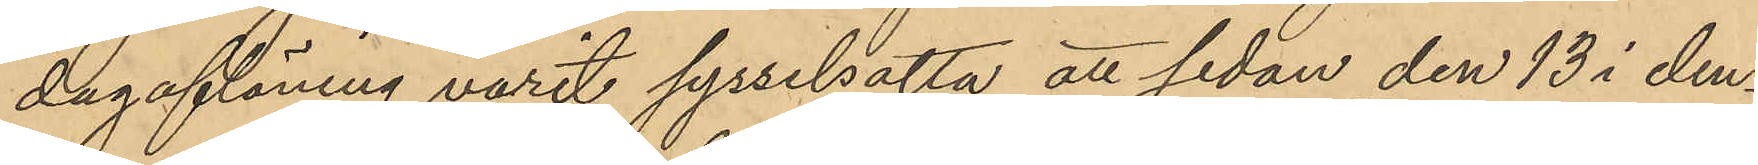dagaflöning varit sysselsatta att sedan den 13 i den¬
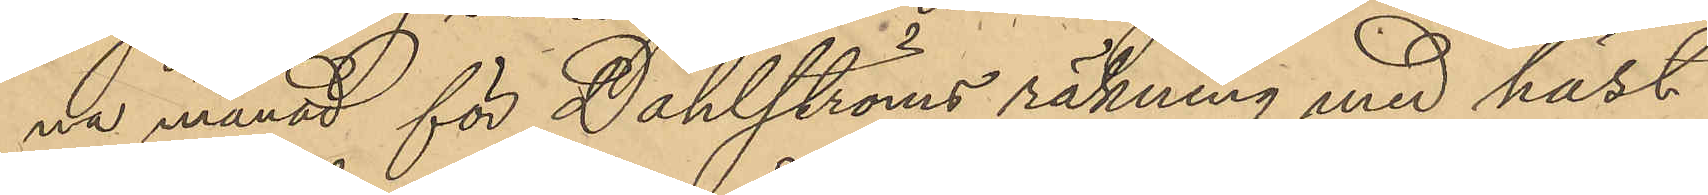na månad för Dahlströms räkning med häst
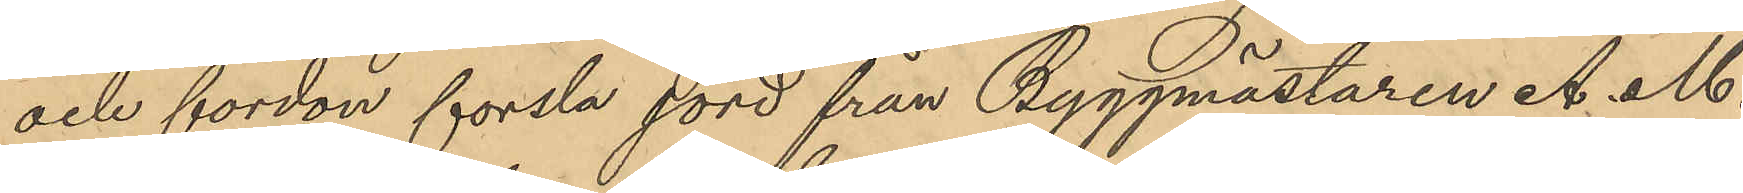och fordon forsla jord från Byggmästaren A. M.
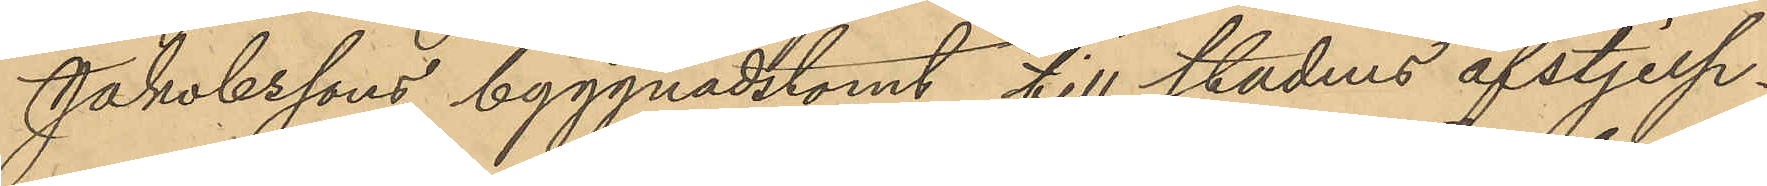Jakobssons byggnadstomt till stadens afstjelp¬
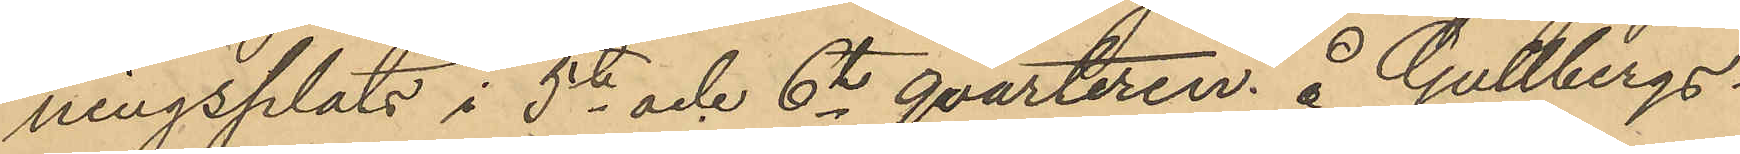ningsplats i 5te och 6te qvarteren å Gullbergs¬
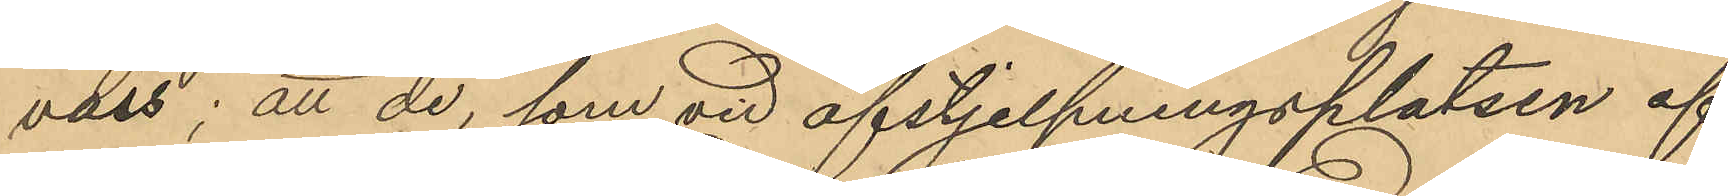vass; att de, som vid afstjelpningsplatsen af
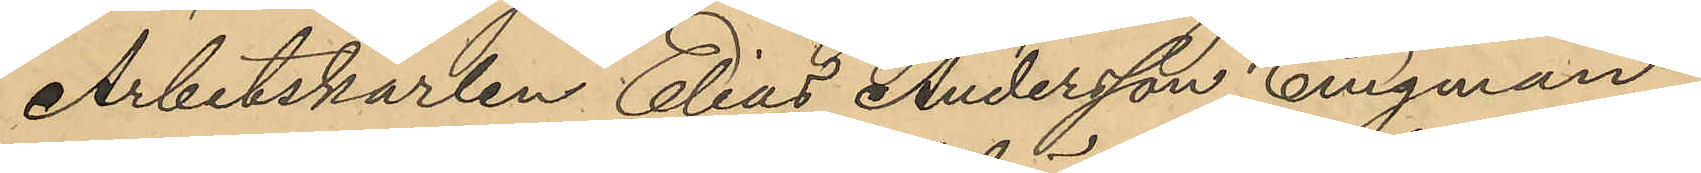Arbetskarlen Elias Andersson Engman, i
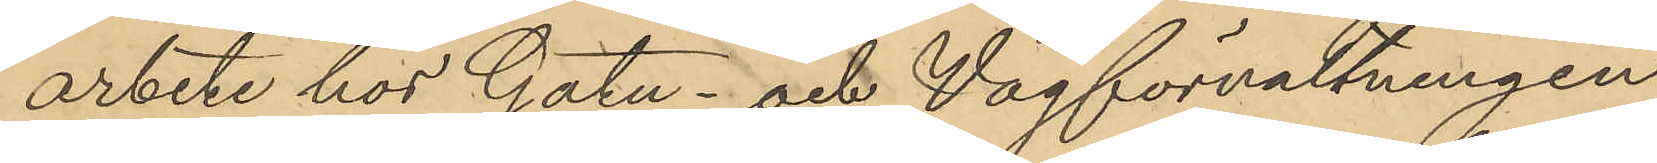arbete hos Gatu- och Vägförvaltningen
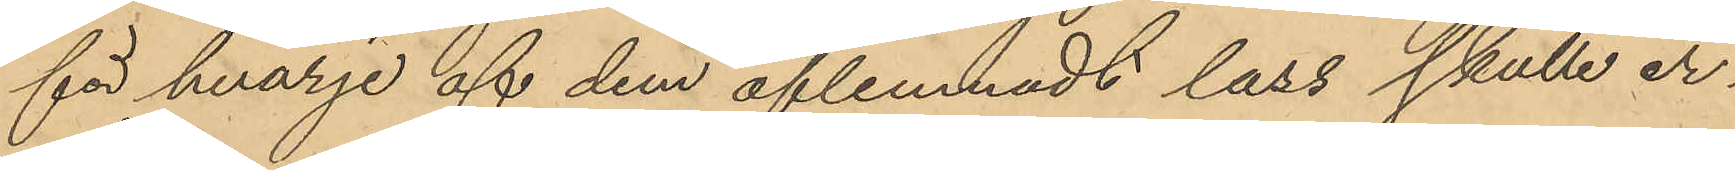för hvarje af dem aflemnadt lass skulle er¬
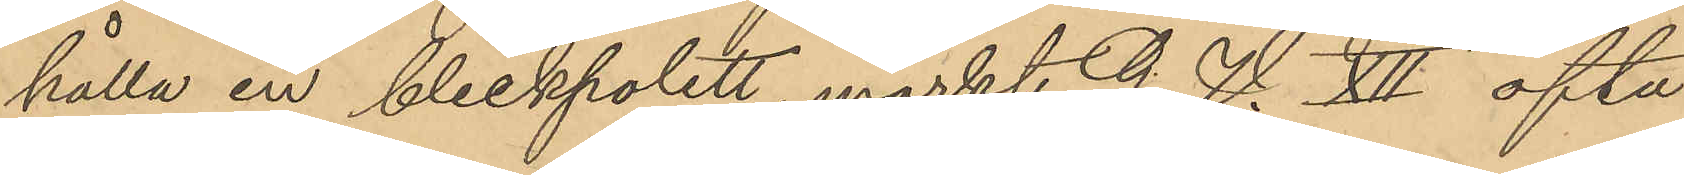hålla en bleckpolett, märkt G. V. XII ofta
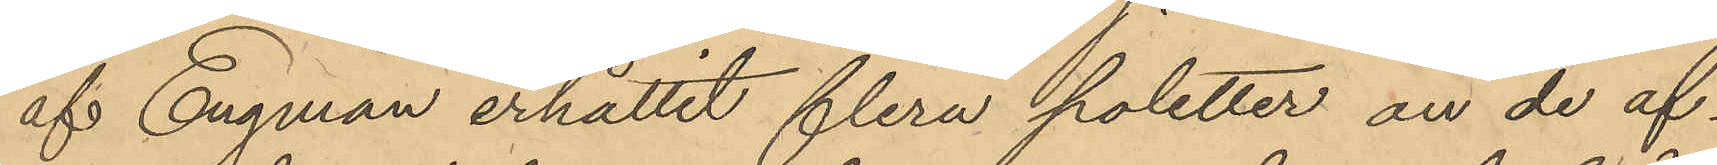af Engman erhållit flera poletter an de af¬
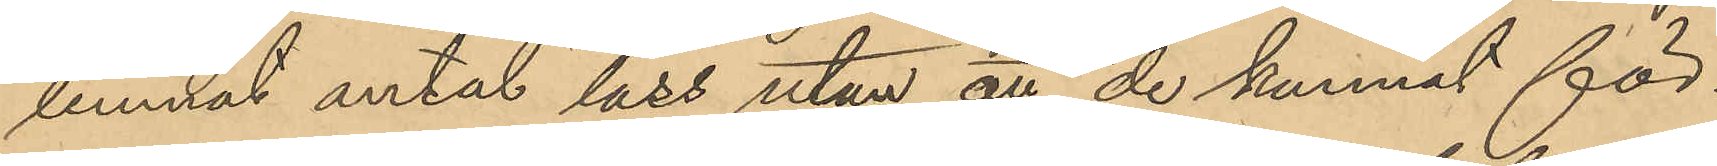lemnat antal lass utan att de kunnat för¬
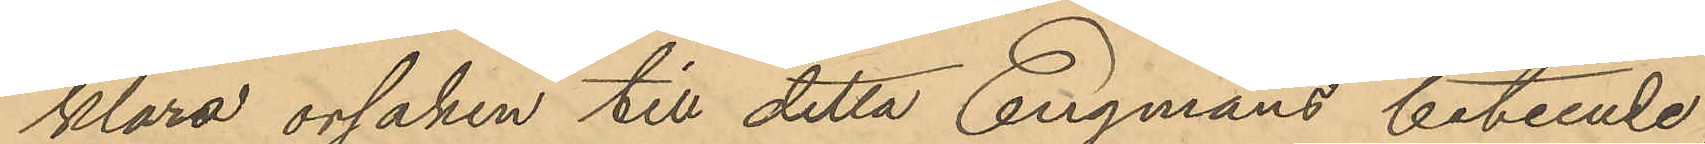klara orsaken till detta Engmans beteende;
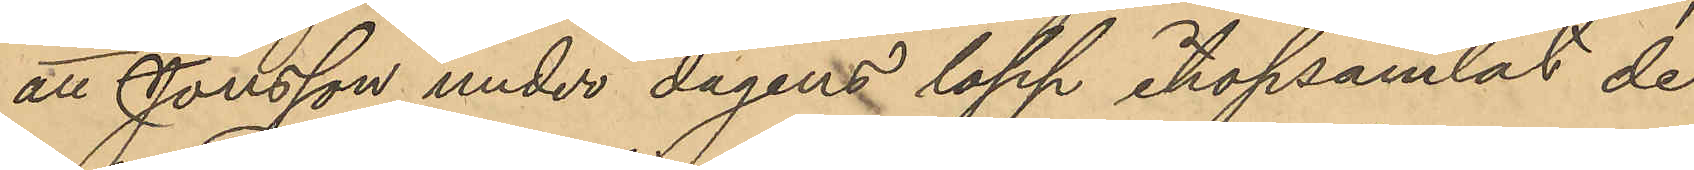att Jonsson under dagens lopp ihopsamlat de
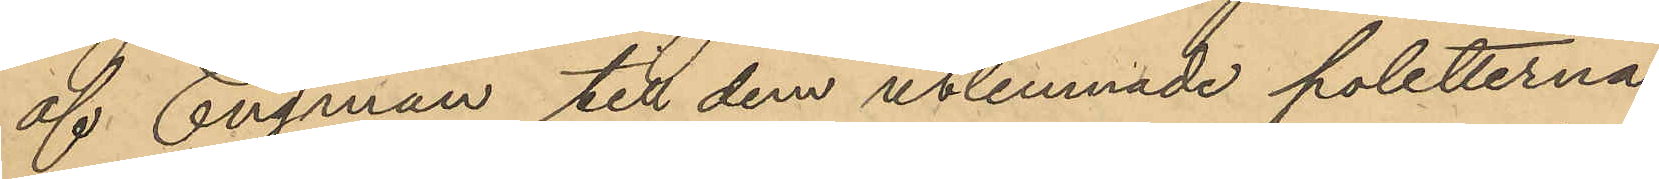af Engman till dem utlemnade poletterna,
